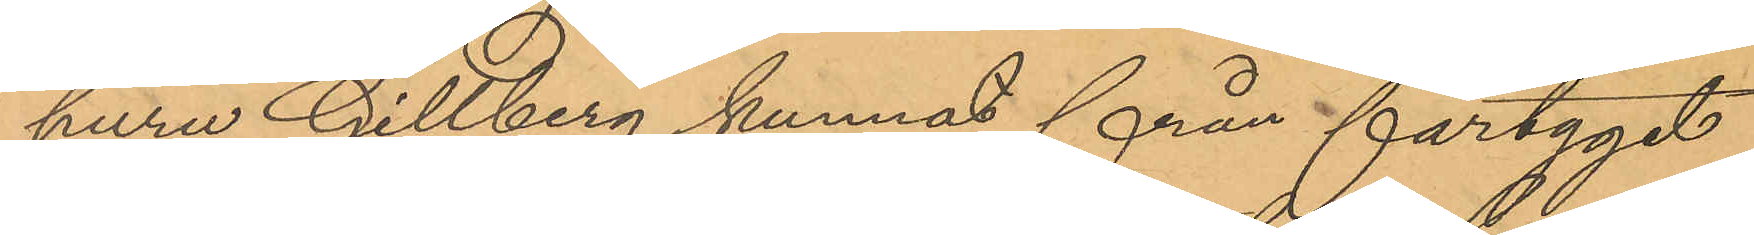huru Gillberg kunnat från fartyget
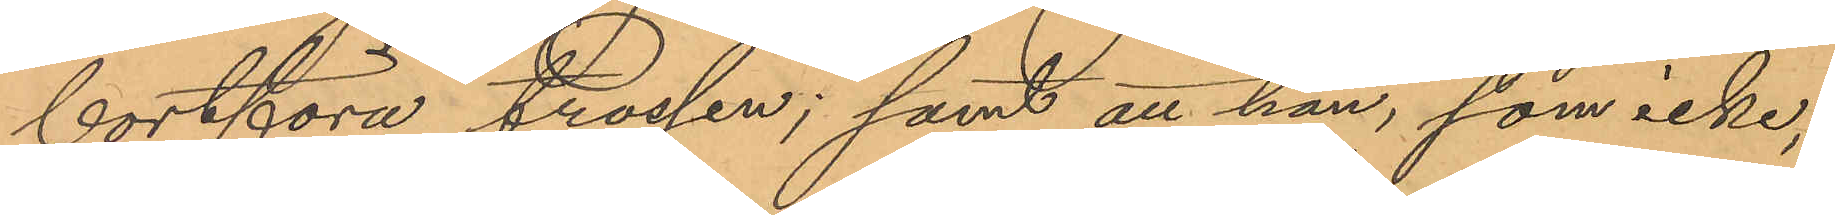bortföra trossen; samt att han, som icke,
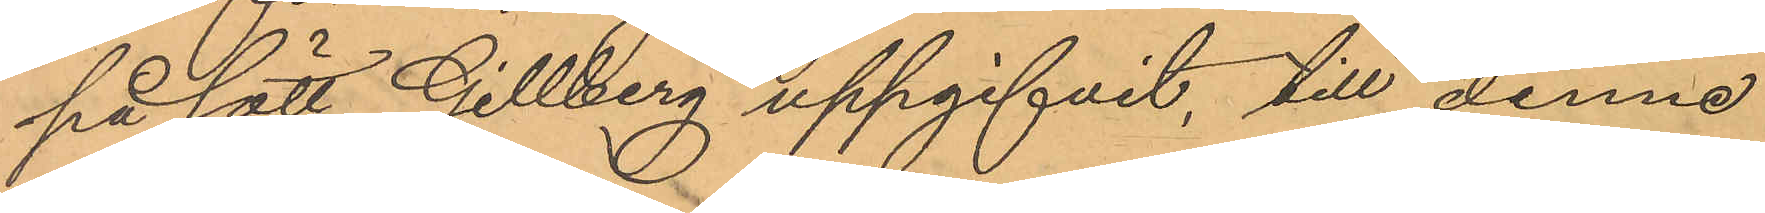på sätt Gillberg uppgifvit, till denne
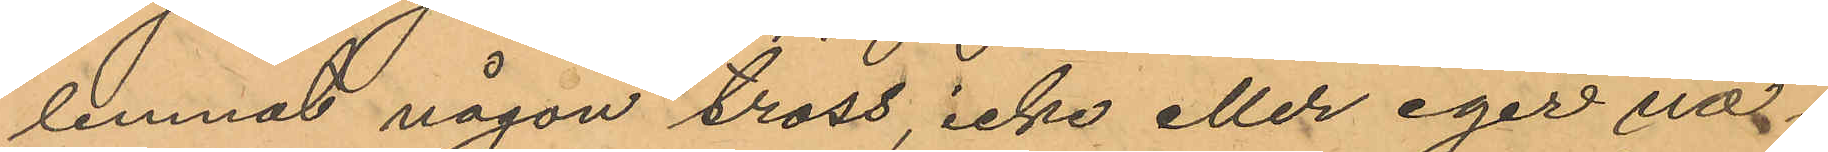lemnat någon tross, icke eller eger någ¬
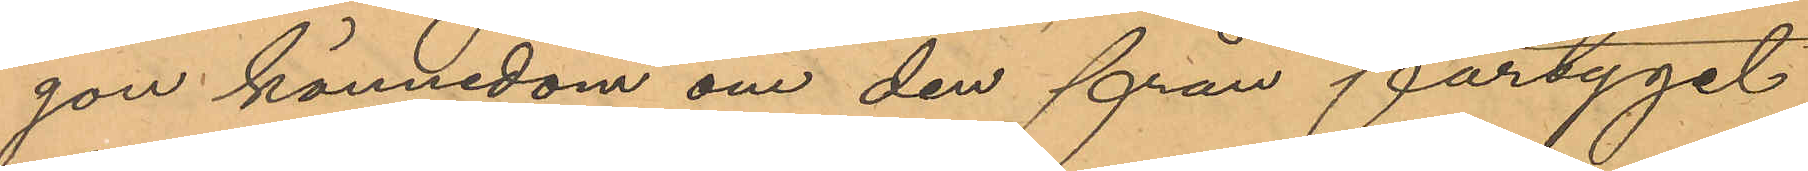gon kännedom om den från fartyget
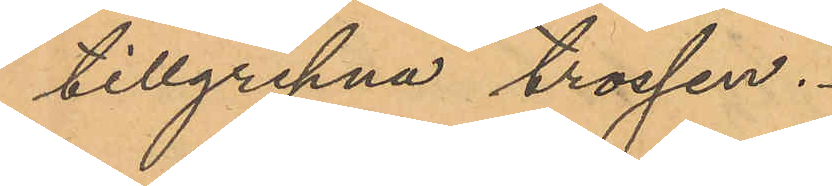tillgripna trossen.
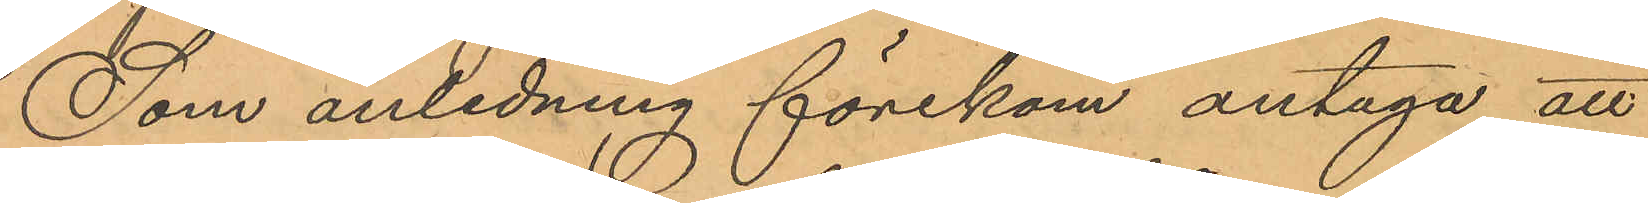Som anledning förekom antaga att
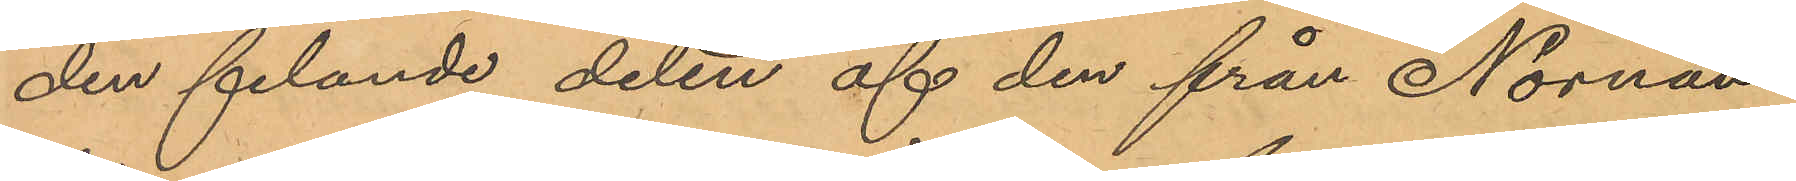den felande delen af den från Nornan
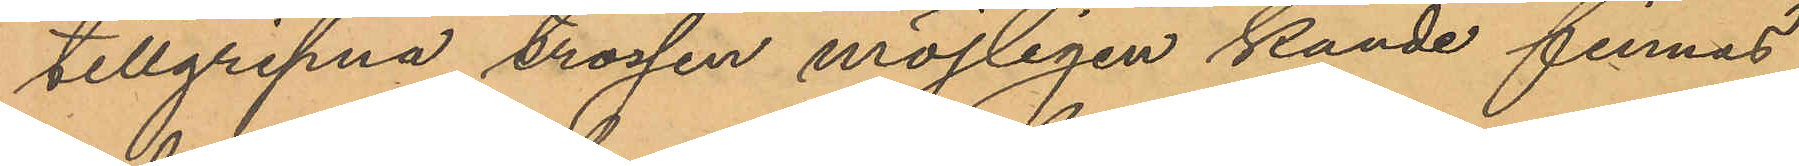tillgripna trossen möjligen kunde finnas
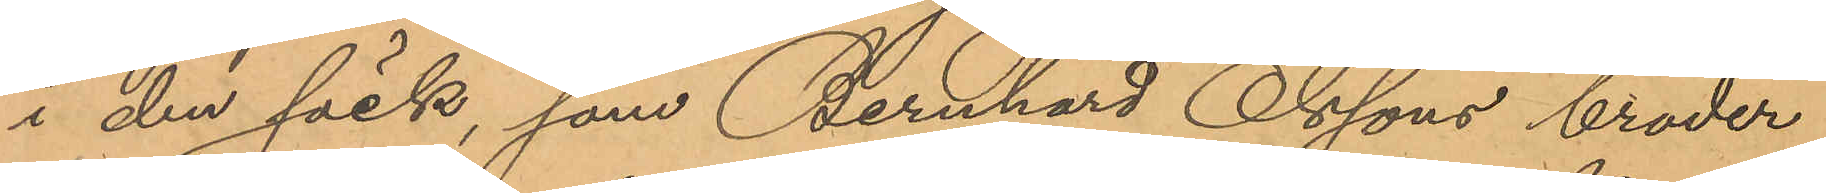i den säck, som Bernhard Olssons broder
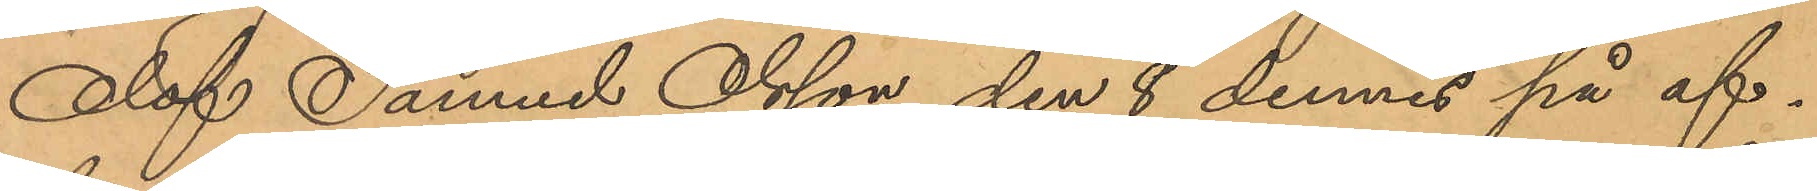Olof Samuel Olsson den 8 dennes på af¬
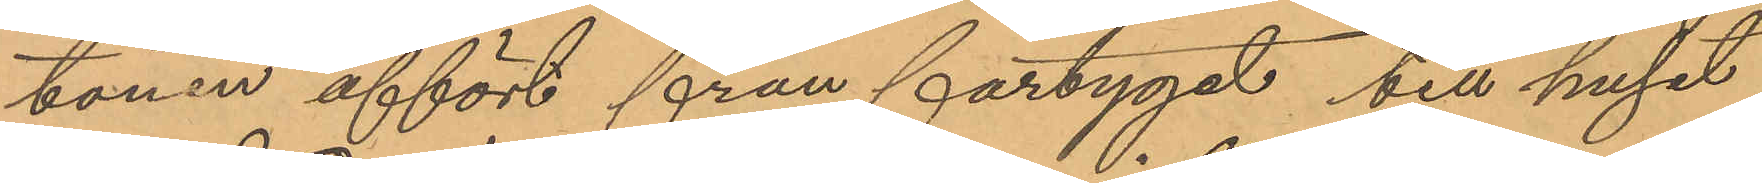tonen affört från fartyget till huset
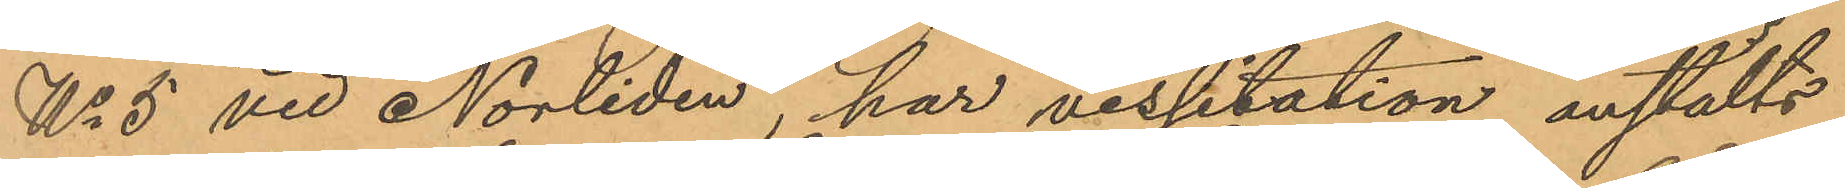No 5 vid Norliden, har visitation anstälts
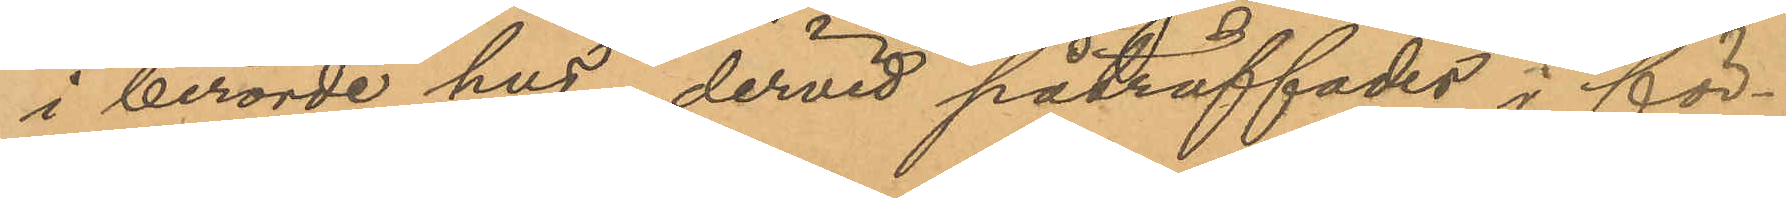i berörde hus, dervid påträffades i för¬
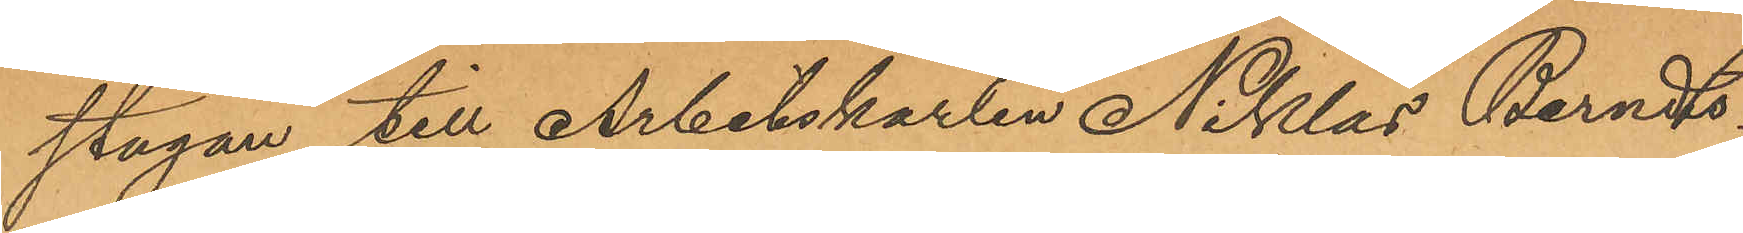stugan till Arbetskarlen Niklas Berndts¬
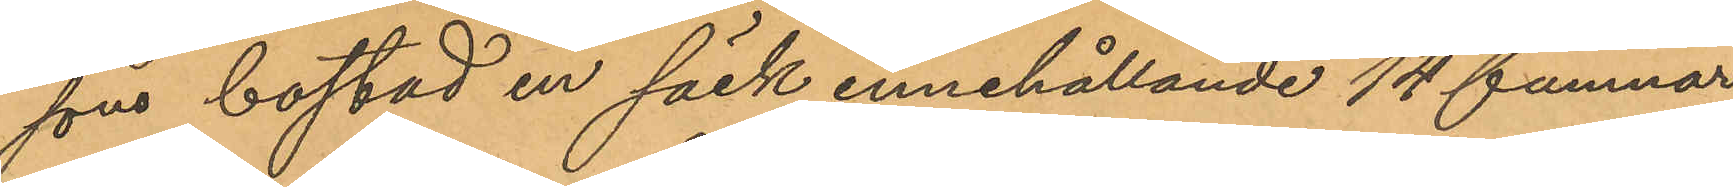sons bostad en säck innehållande 14 famnar
